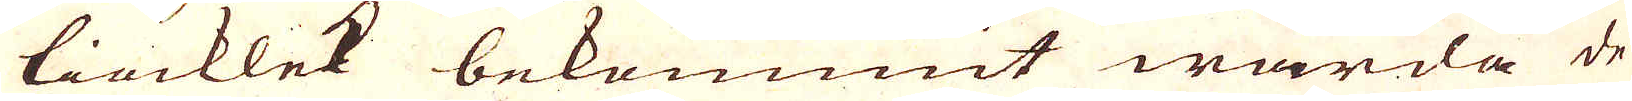tiocklek bekommit warda de
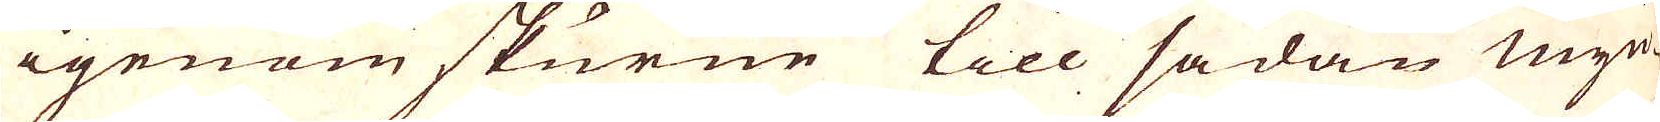igenom skurne till sådan myn-
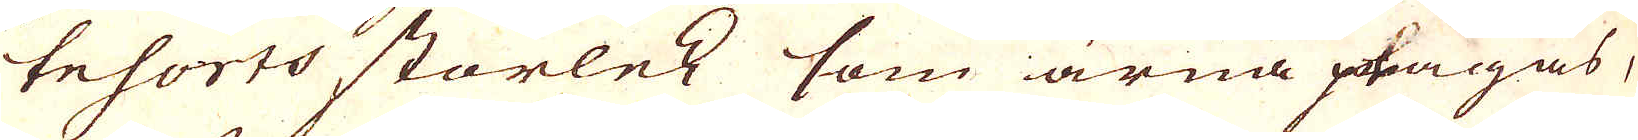tesorts storlek som ärna plägas,
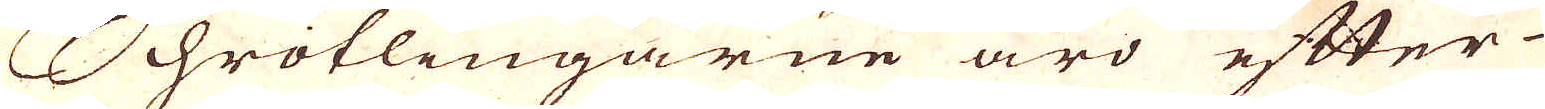Schrotlingarne ärd efter
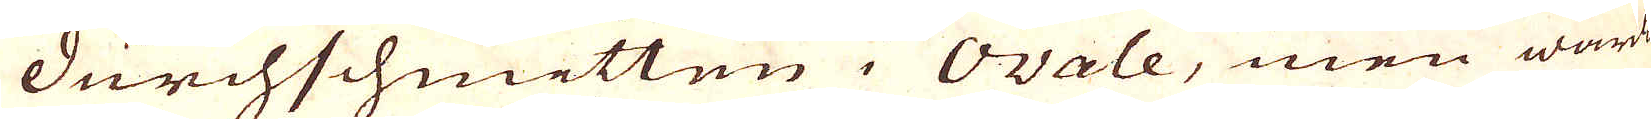durchschmitten i Ovale, men warda
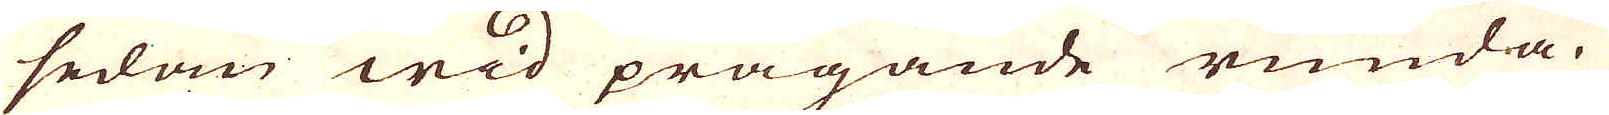sedan wid prägande runda.
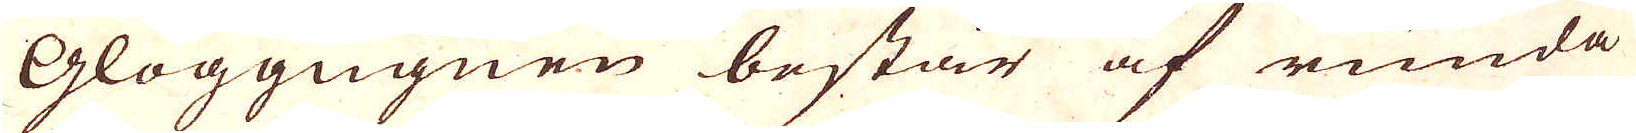Glöggugnen består af runda
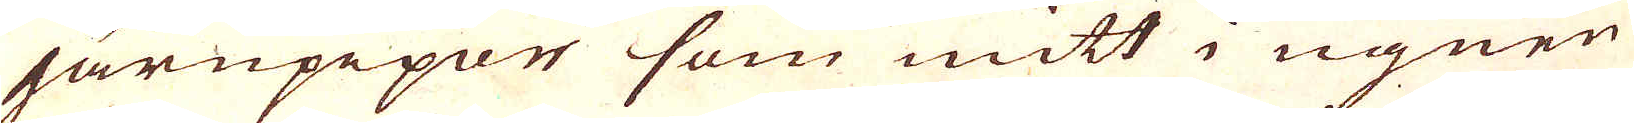järnpipor som mitt i ugnen
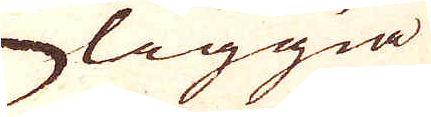liggia
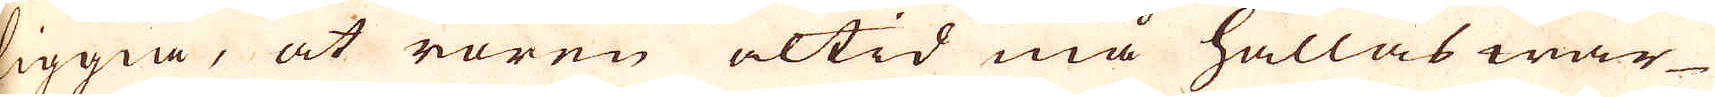liggia, at rören altid må hållas war-
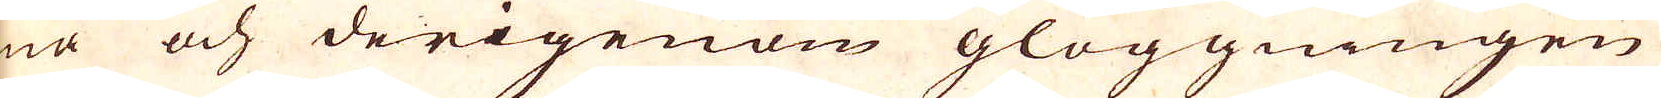ma och derigenom glöggningen
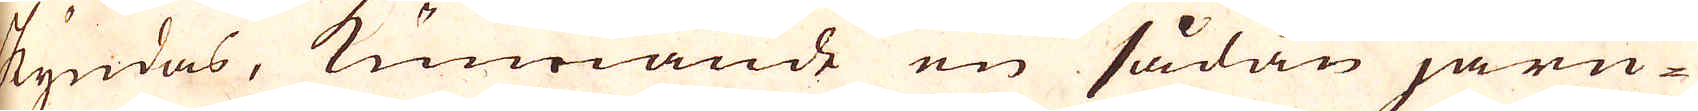skyndas, kunnande en sådan järn
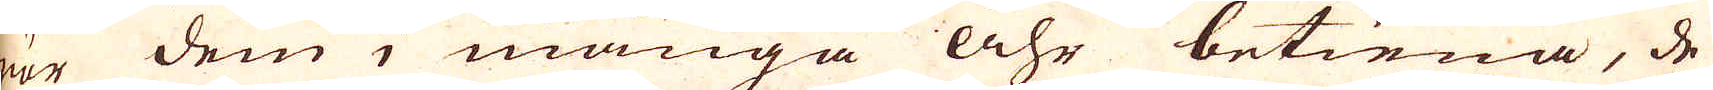är dem i många Åhr betiena, de
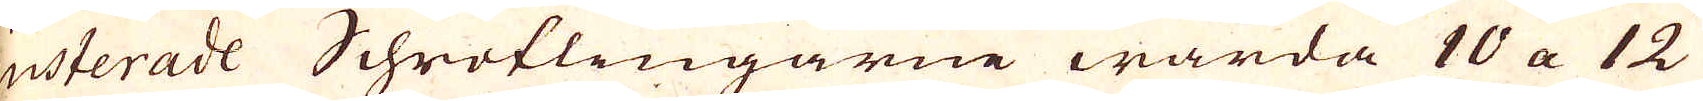justerade Schrotlingarne warda 10 a 12
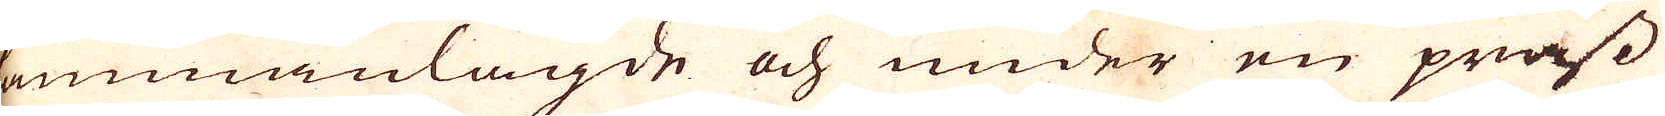sammanlagde och under en präss
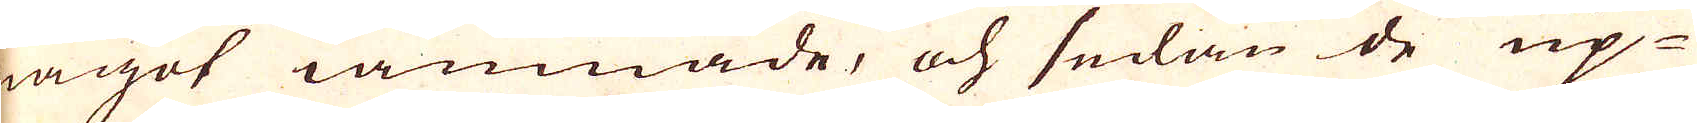något iämnade, och sedan de up-
